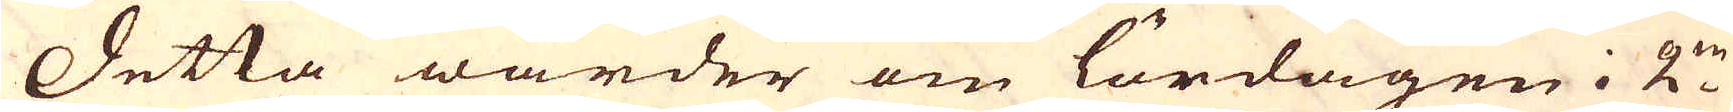Detta warder om lördagen i 2:ne
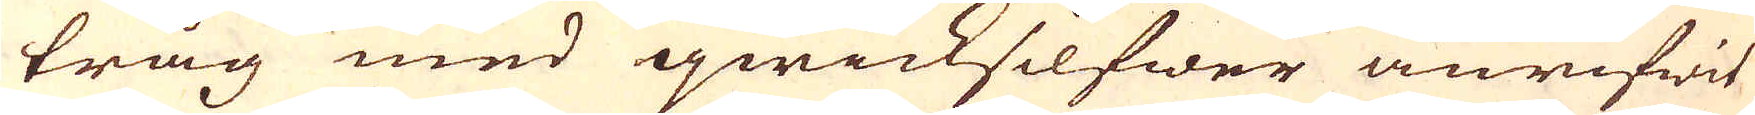tråg med qwicksilfwer anrifwit
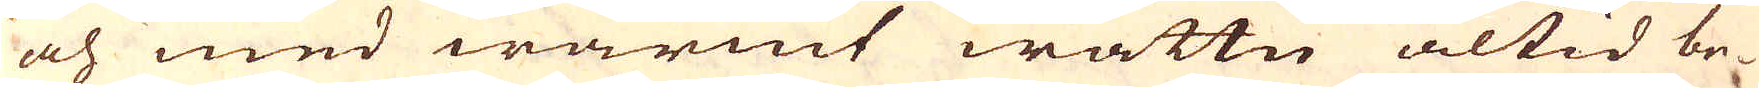och med warmt wattn altid be-
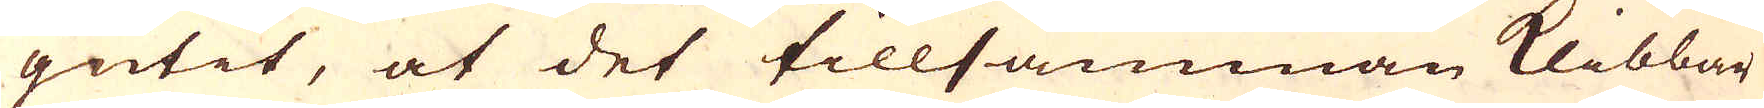gutit, at det tillsamman klibbar
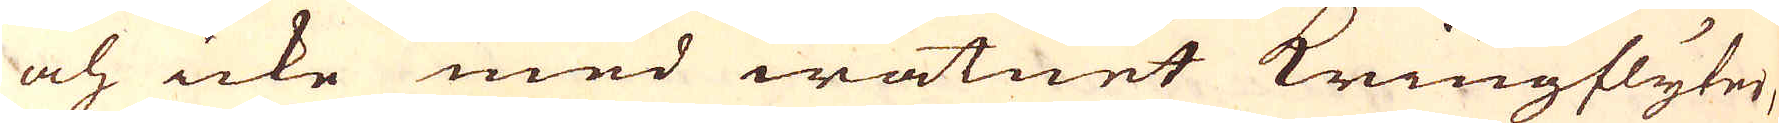och icke med watnet kringflyter,
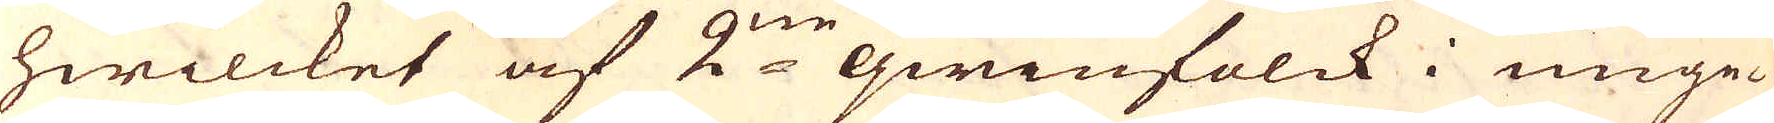hwilcket af 2:ne qwinfolck i unge-
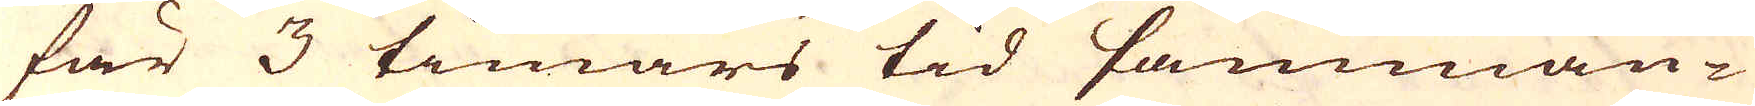fär 3 timars tid samman-
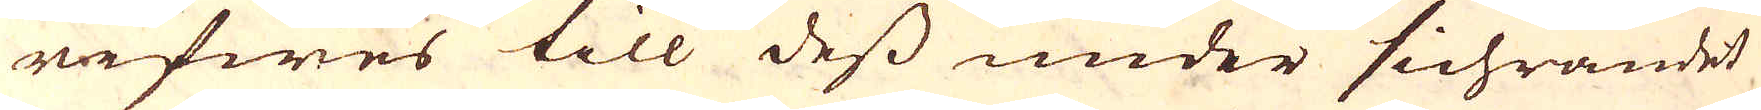rifwes till dess under sichrandet
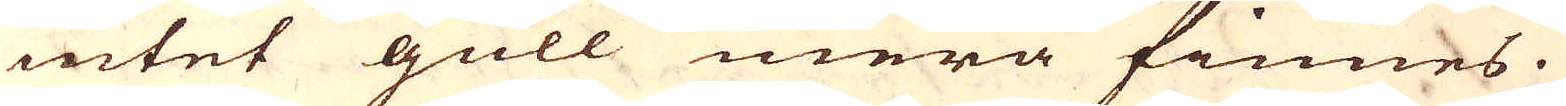intet gull mera finnes.
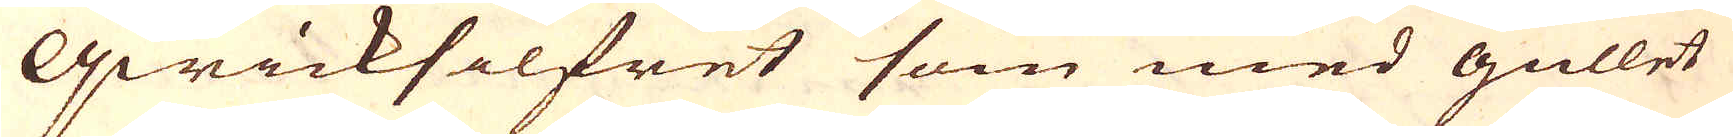Qwicksilfret som med gullet
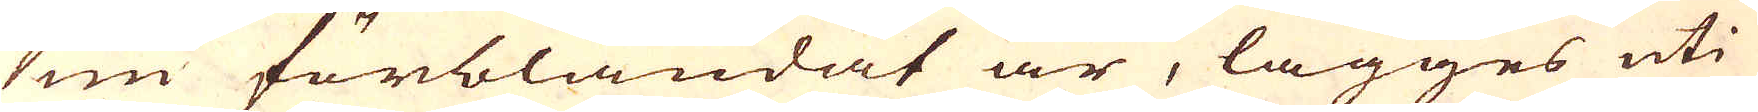nu förblandat är, lägges uti
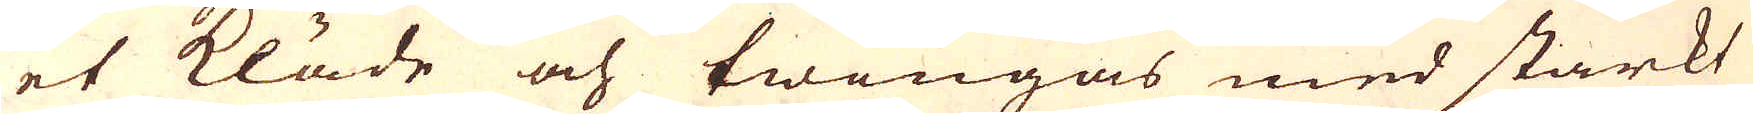et kläde och twingas med starkt
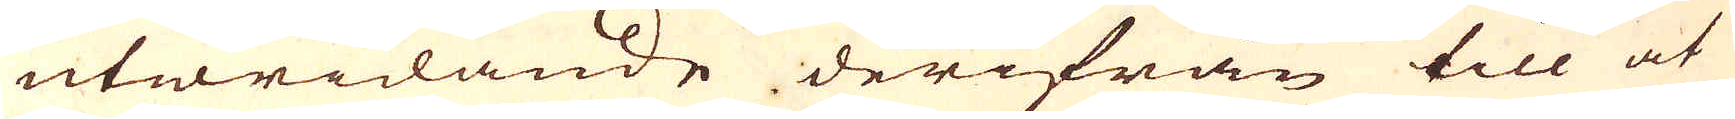utwridande derifrån till at
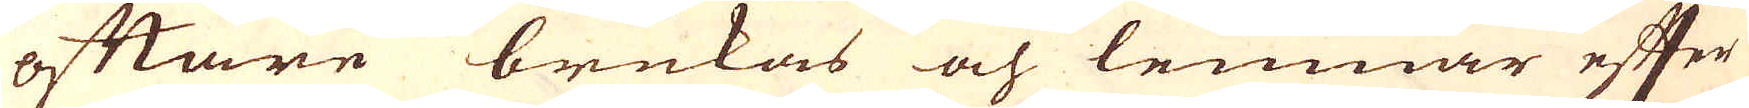oftare brukas och lemnar effer
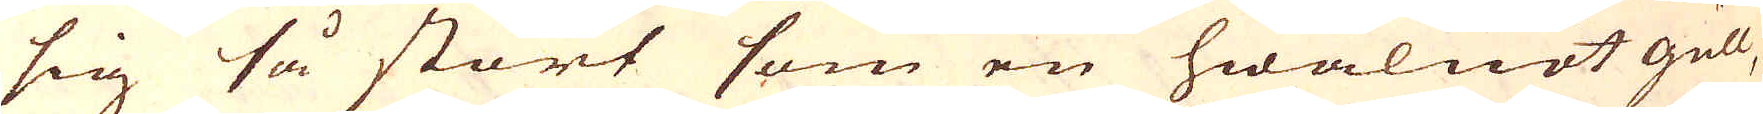sig så stort som en hwalnöt gull,
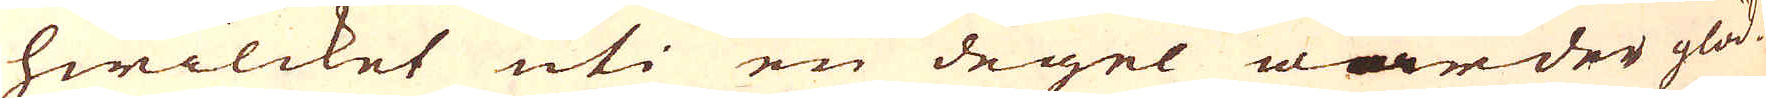hwilcket uti en degel warder glöd-
